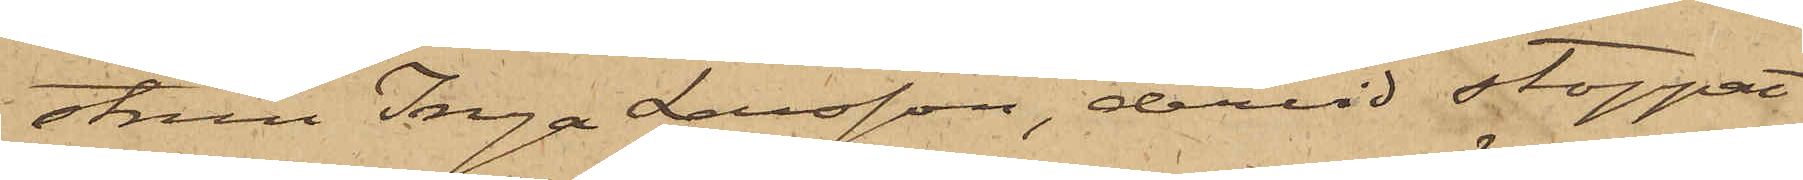strun Inga Larsson, dervid stoppat
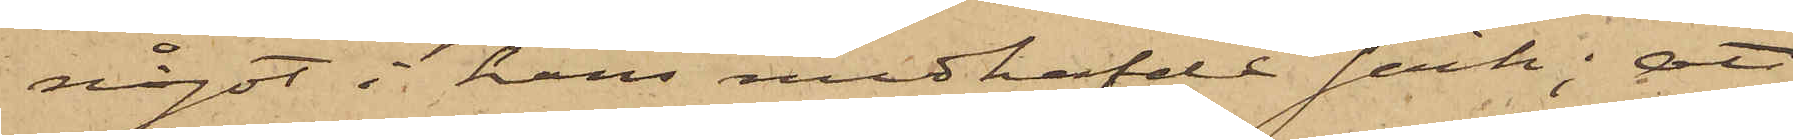något i hans medhafde säck; att
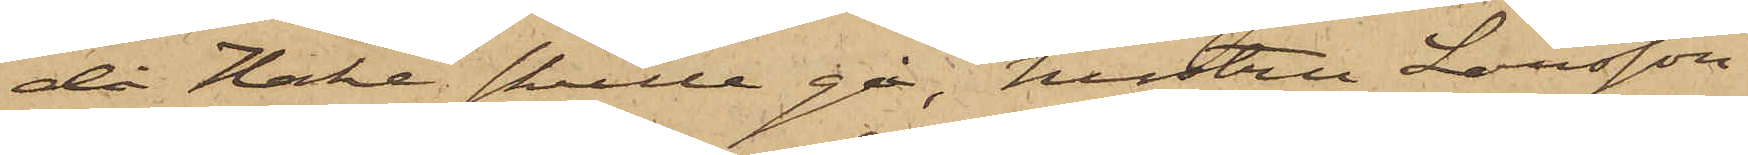då Hake skulle gå, hustru Larsson
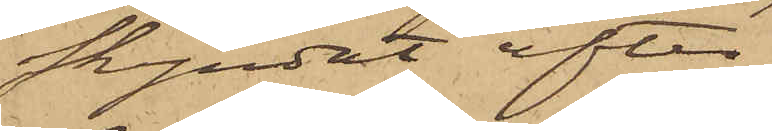skyndat efter
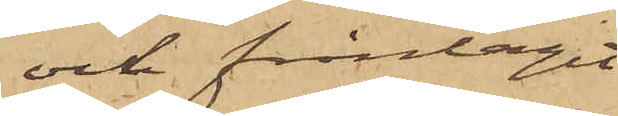och fråntagit
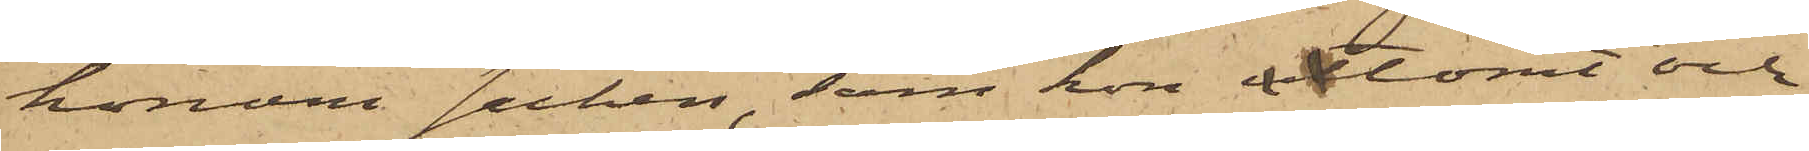honom säcken, som hon tömt och
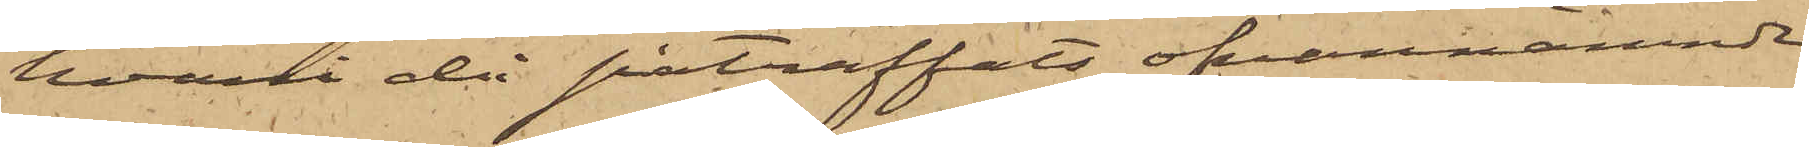hvari då påträffats ofvannämnde
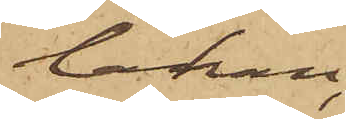lakan,
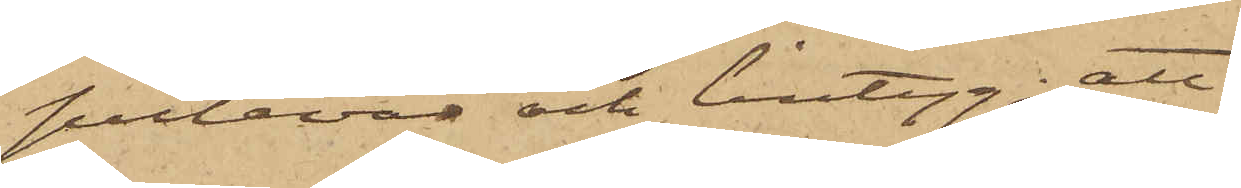putevar och lintyg; att
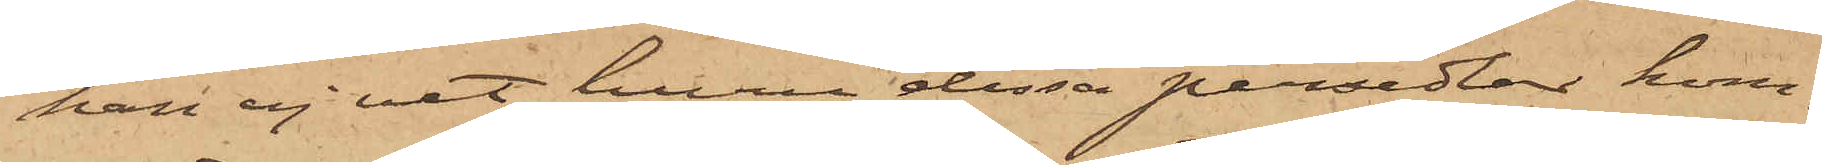han ej vet huru dessa persedlar kom¬
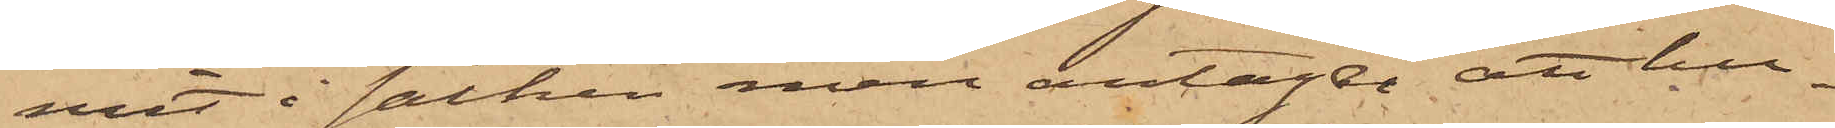mit i säcken men antager att hu¬
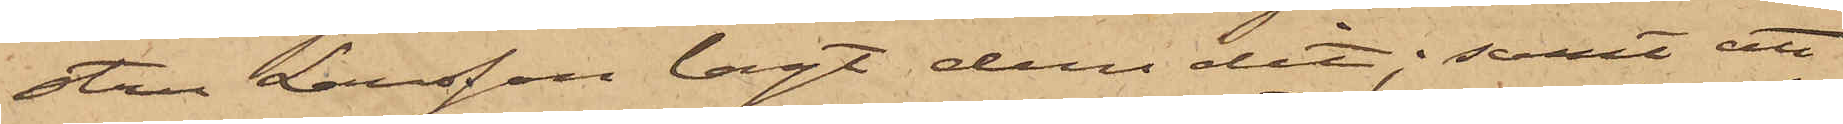stru Larsson lagt dem dit; samt att
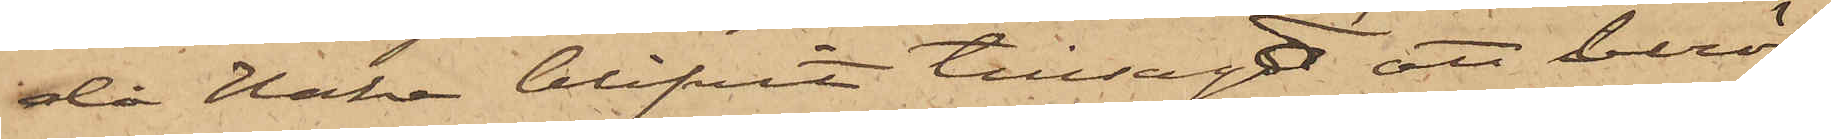då Hake blifvit tillsagd att berör¬
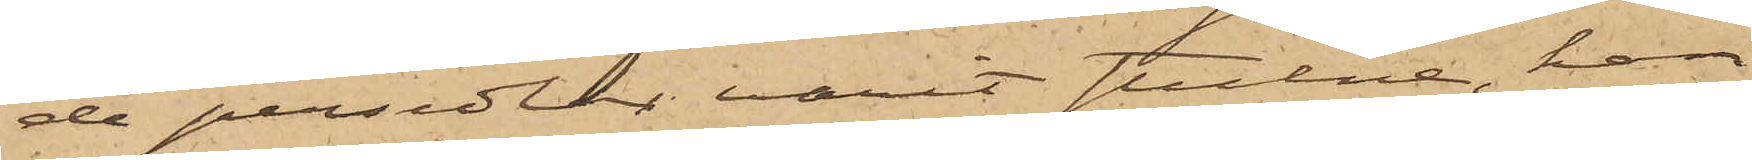de persedlar varit stulne, han
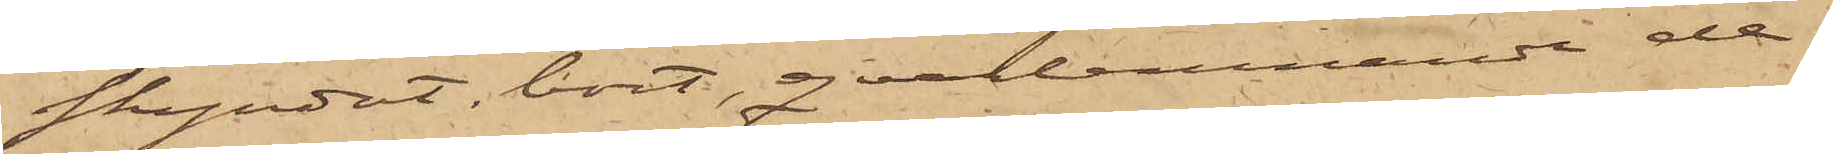skyndat bort, qvarlemnande de¬
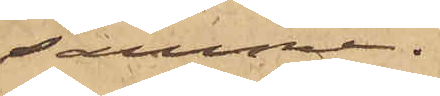samma.
